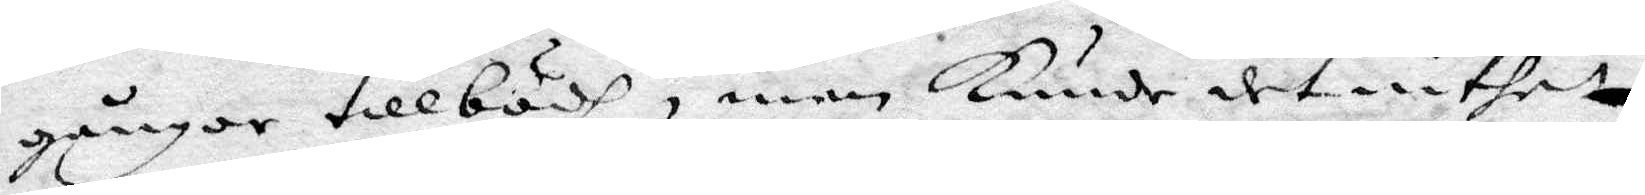gånger tillbödh, men kunde det intet
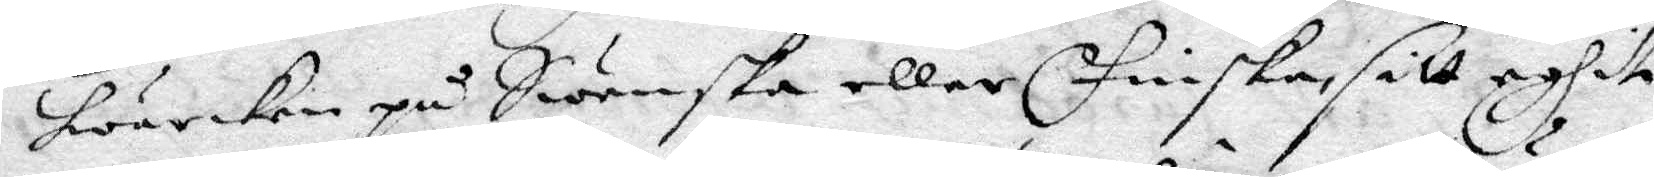hwarken på Swenska eller Finska, sitt eghit
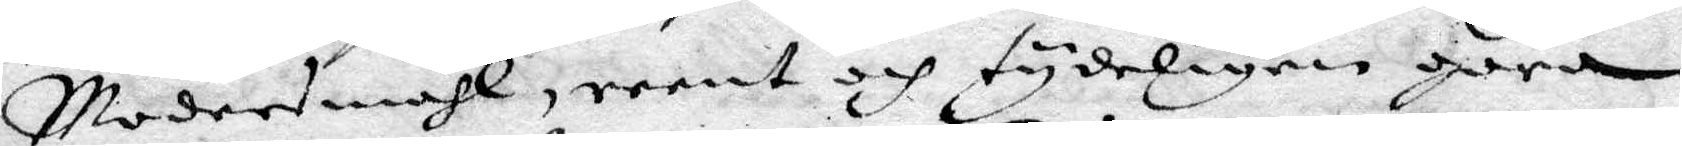Modersmåhl, reent och tydeligen göra.
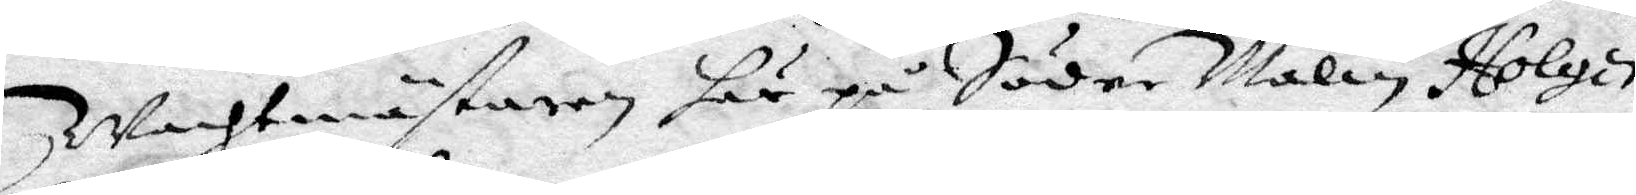Wachtmästaren här på Söder Malm, Holger
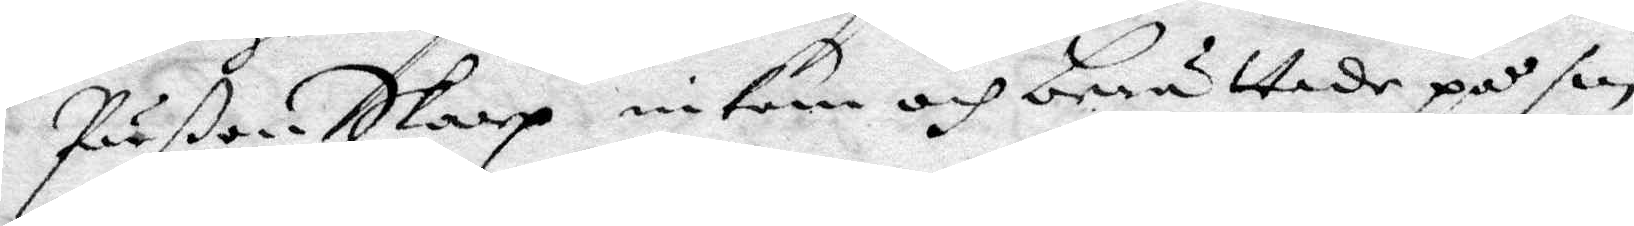Pärßon Skarp inkom och berättade på sin
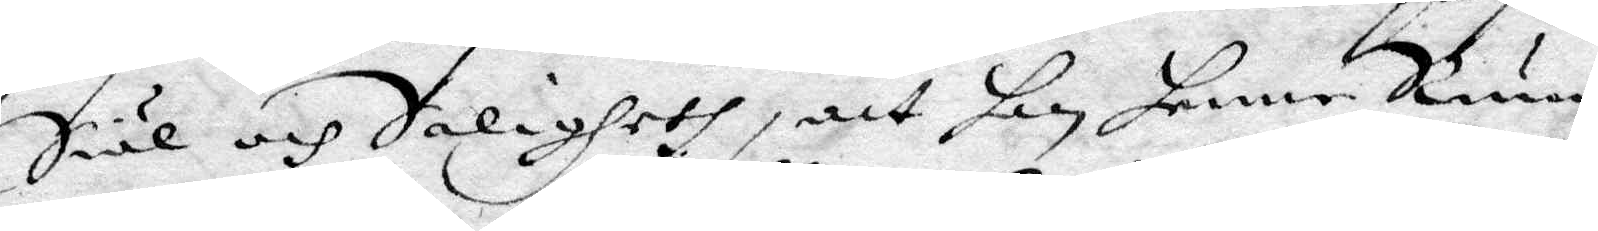Siäl och Saligheth, att han henne Rum¬
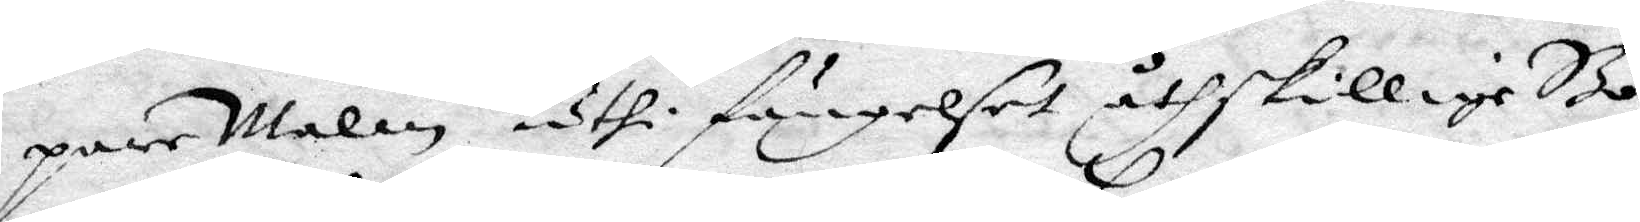pare Malin uthi fängelset åthskillige Bö¬
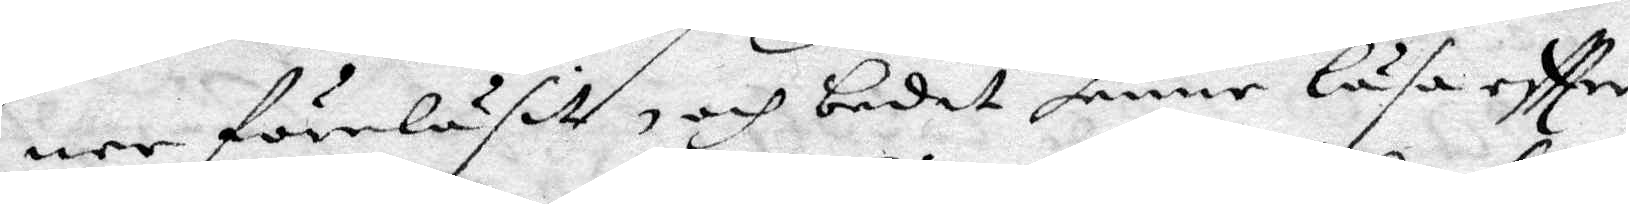ner föreläsit och bedit henne läsa eftter
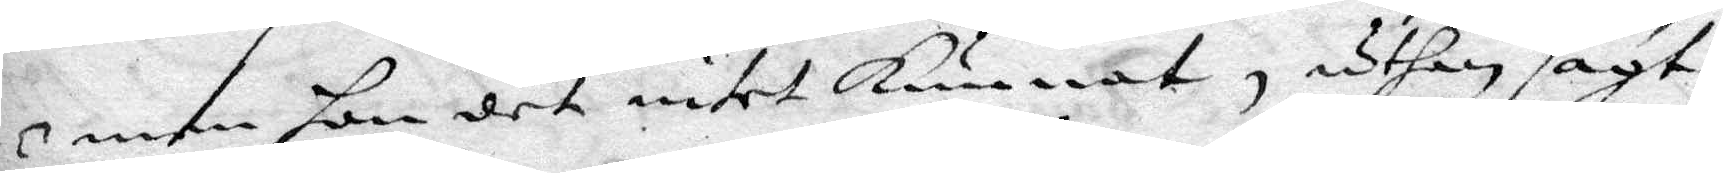men hon det intet Kunnat, uthan sagt:
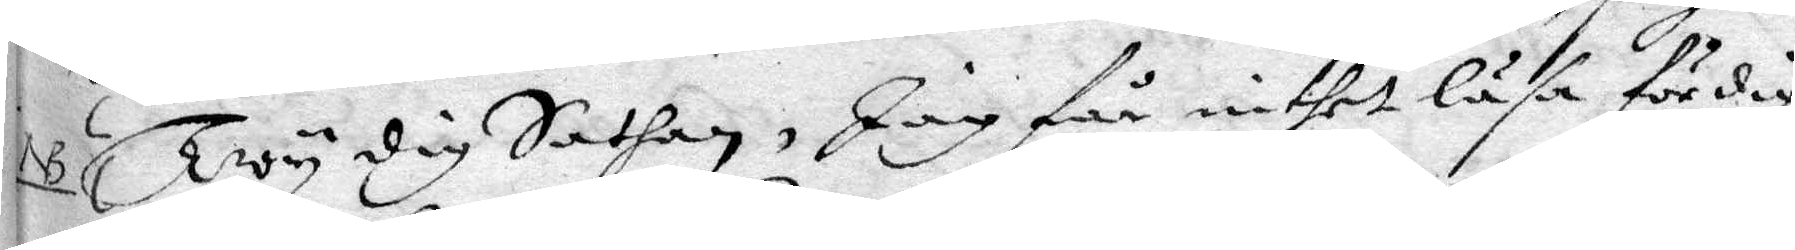Twy dig Sathan, Jag får intet läsa för dig
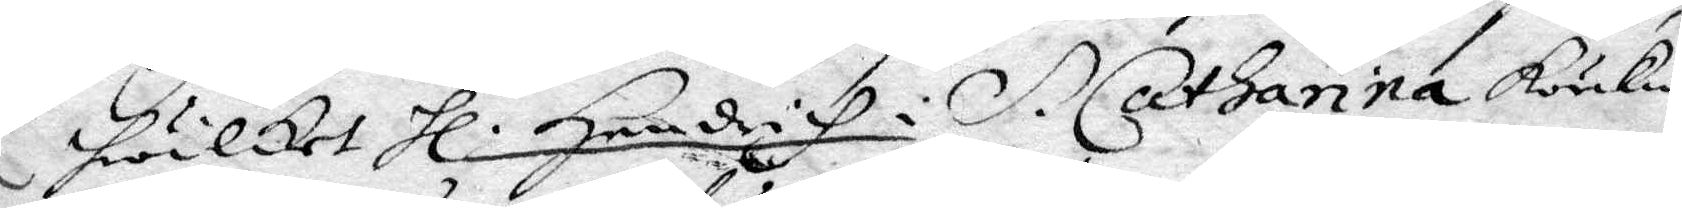hwilket Hl: Hendrich i S. Catharina körkia
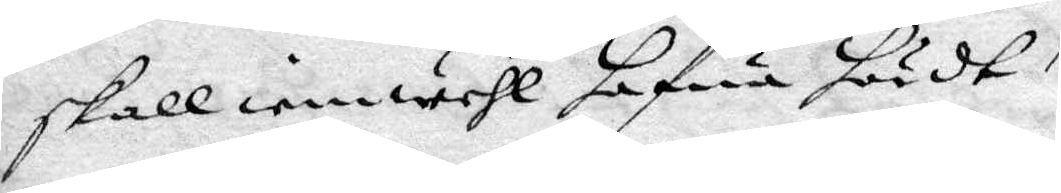skall iemwehl hafwa hördt. 
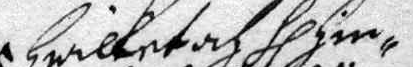Hwilket af Hl. Hin¬
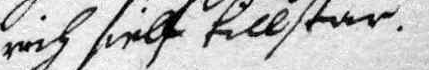rich sielf tillstår.
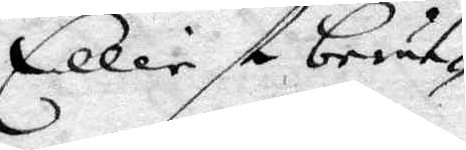Elliest berät¬
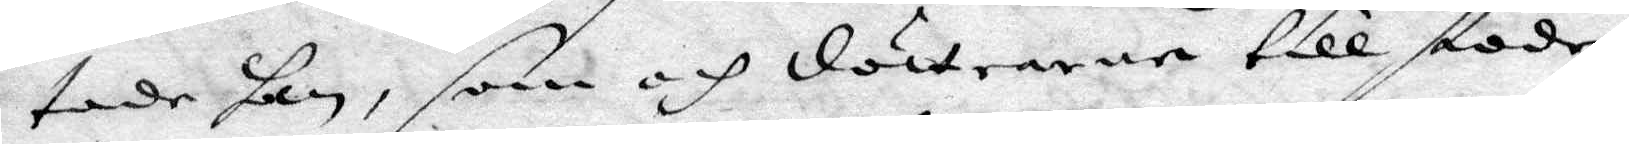tade han, som och döttrarne till stode,
